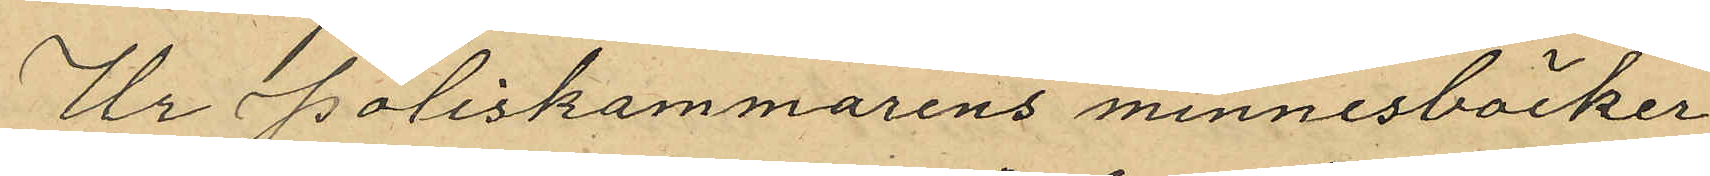Ur Poliskammarens minnesböcker
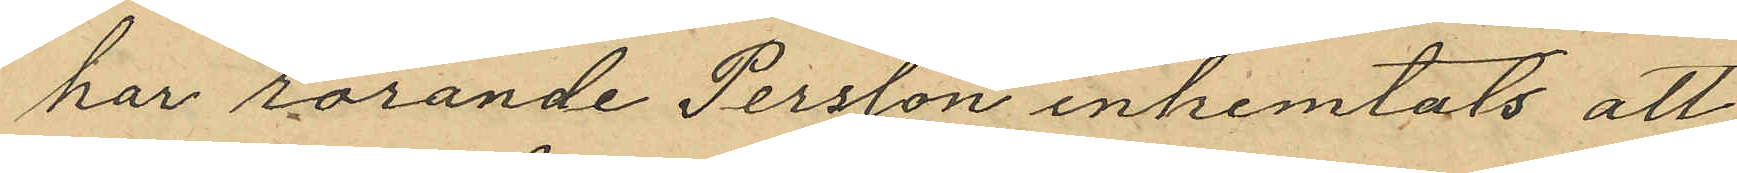har rörande Persson inhemtats att
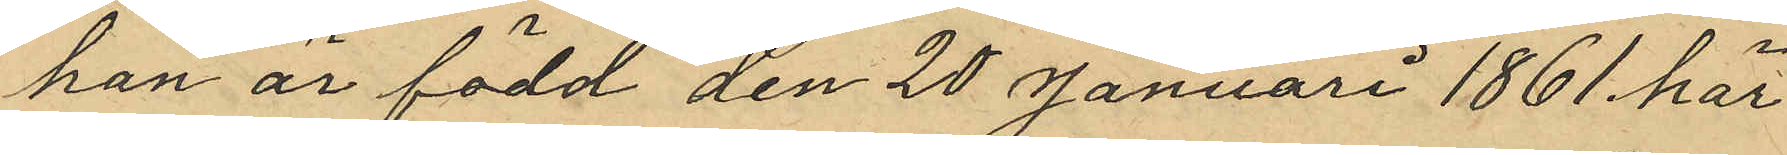han är född den 28 Januari 1861 här
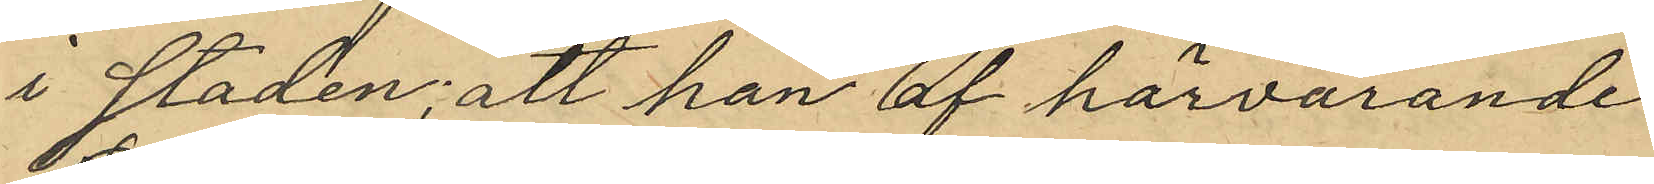i staden; att han af härvarande
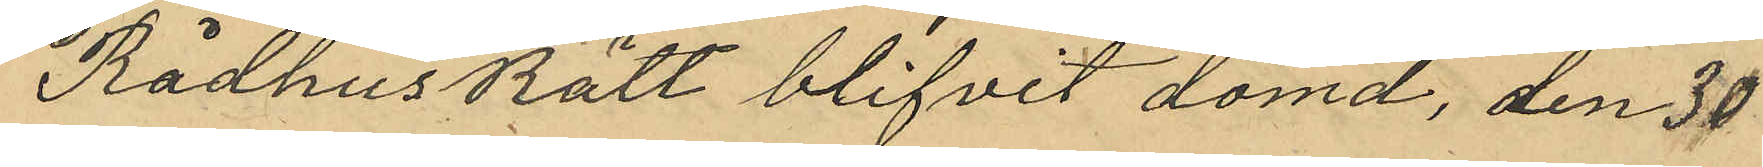RådhusRätt blifvit dömd, den 30
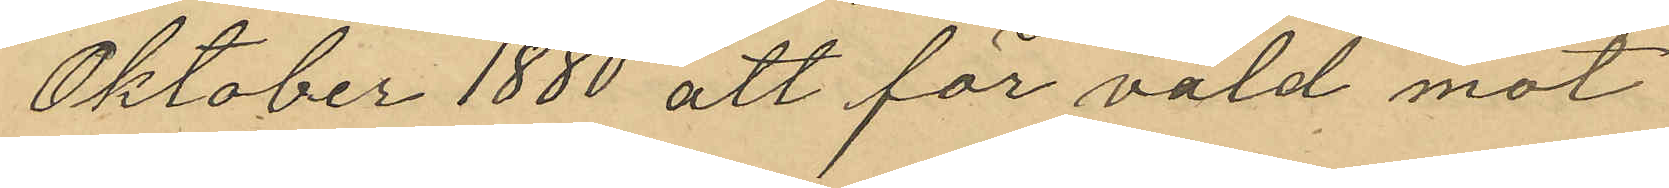Oktober 1880 att för våld mot
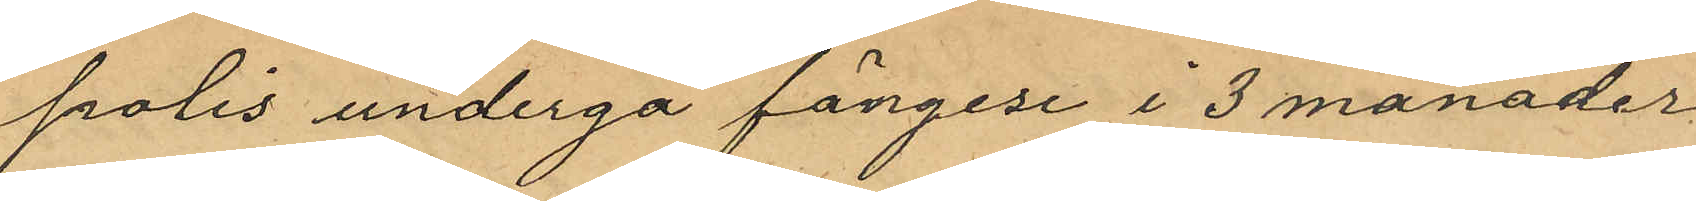polis undergå fängese i 3 månader
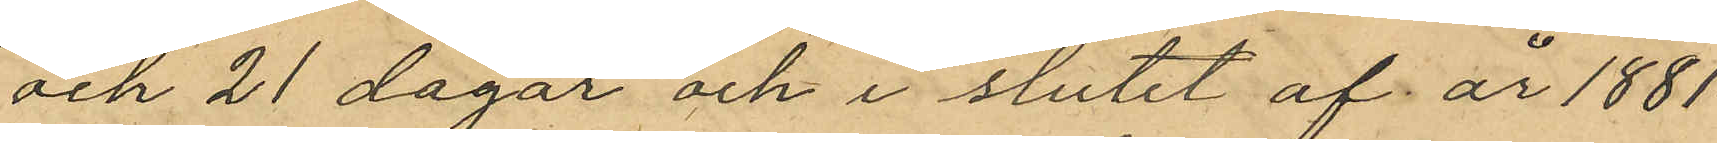och 21 dagar och i slutet af år 1881
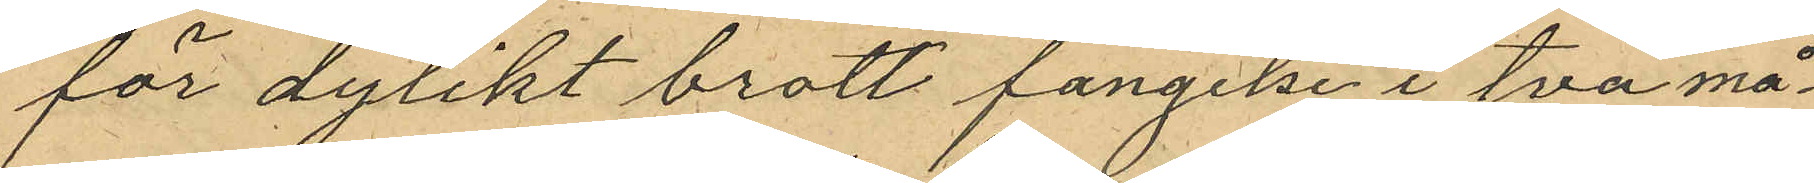för dylikt brott fängelse i två må¬
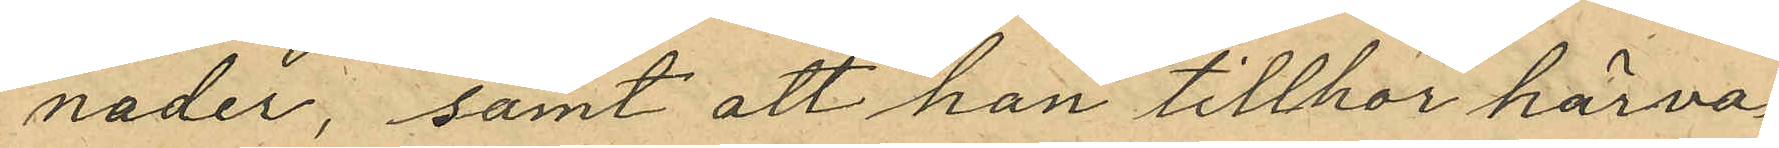nader; samt att han tillhör härva¬
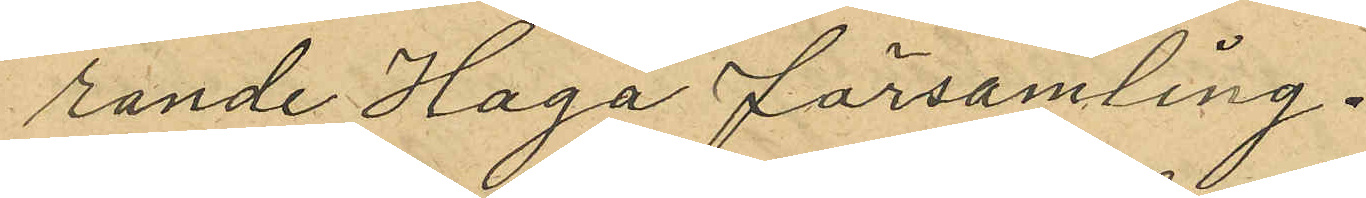rande Haga församling.
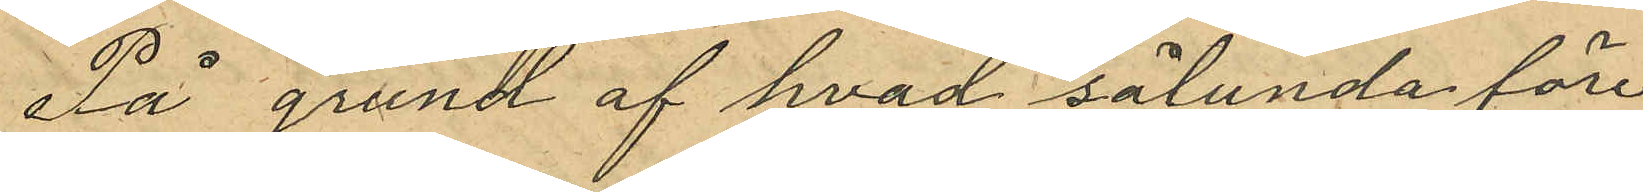På grund af hvad sålunda före¬
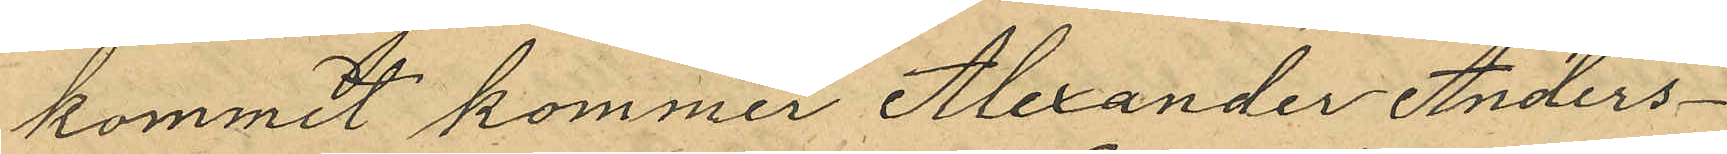kommit kommer Mexander Anders¬
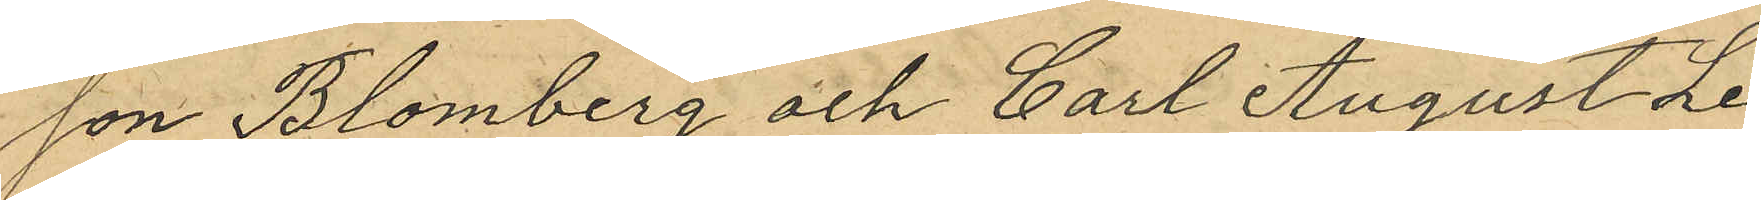son Blomberg och Carl August Le¬
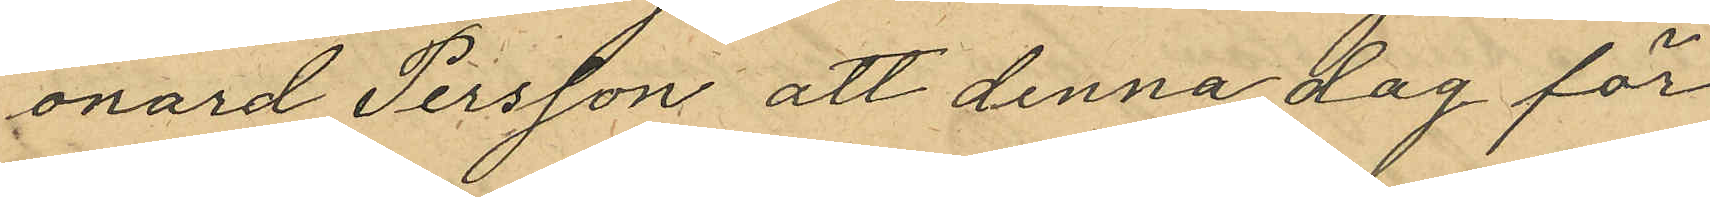onard Persson att denna dag för
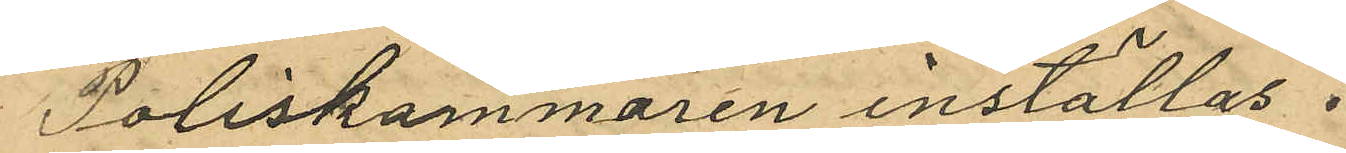Poliskammaren inställas.
